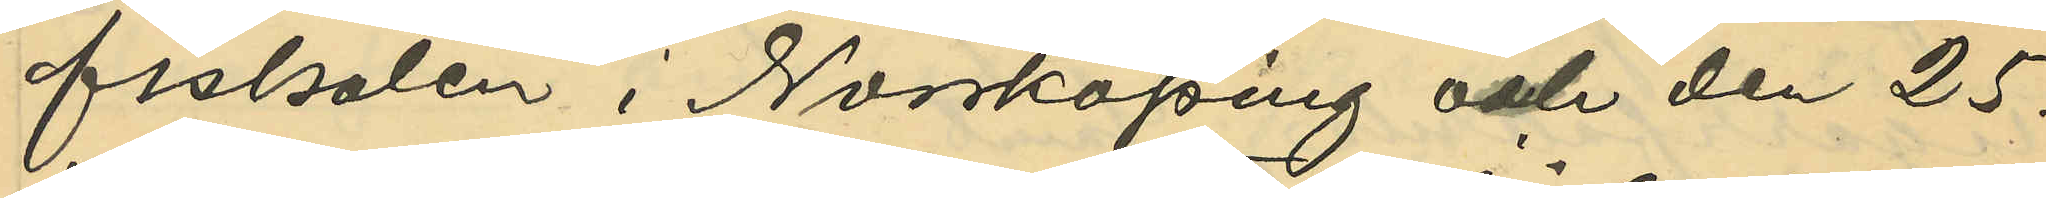fiskalen i Norrköping och den 25.
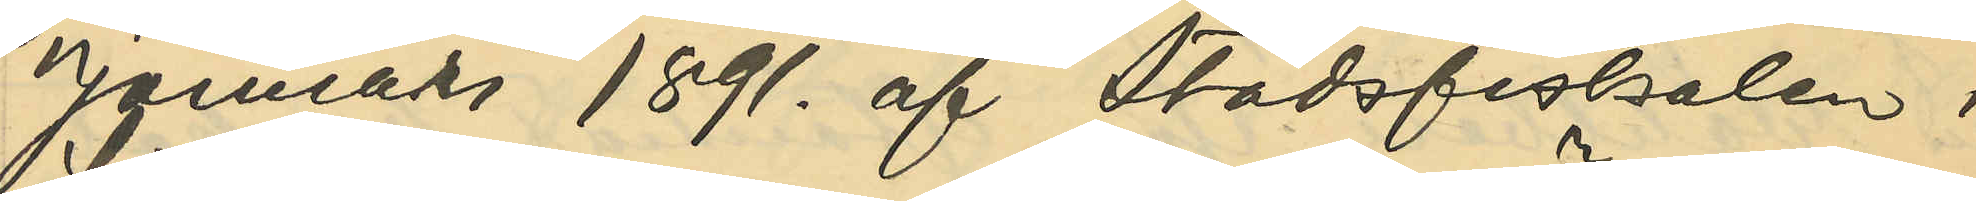Januari 1891. af Stadsfiskalen i
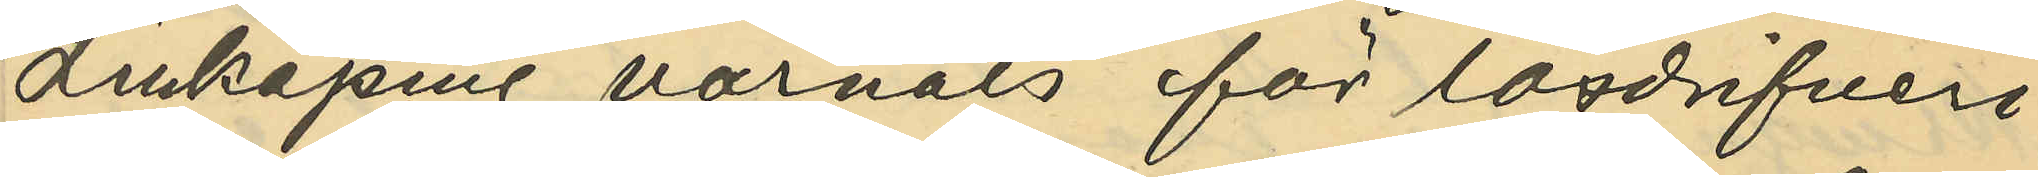Linköping varnats för lösdrifveri
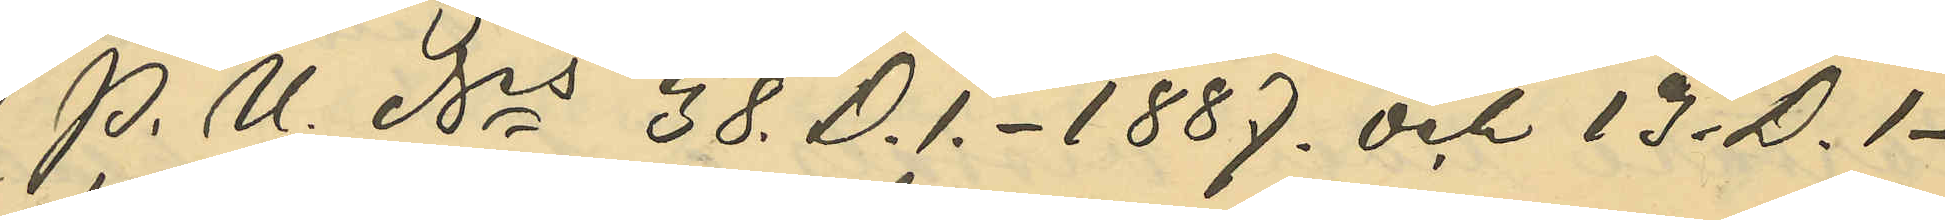(P. U. Nris 38. D. 1. - 1887. och 13. D. 1 -
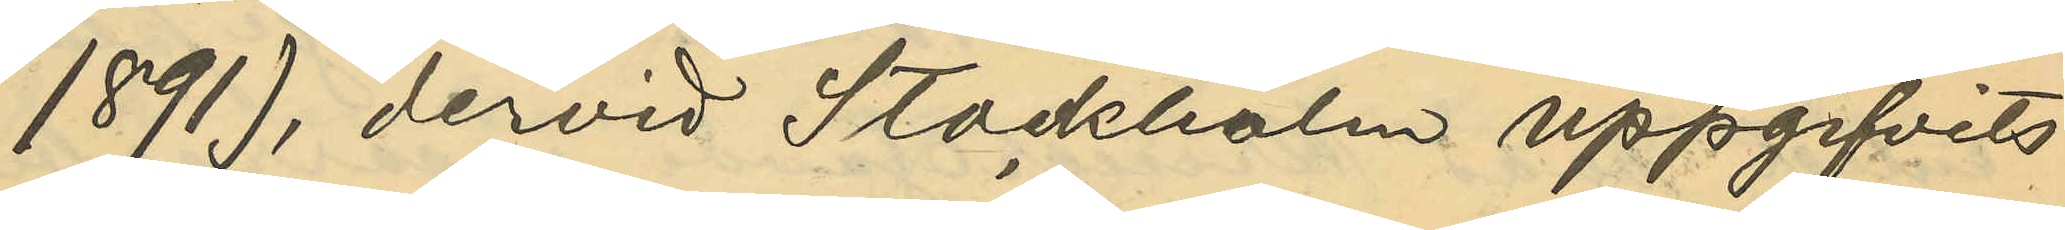1891), dervid Stockholm uppgifvits
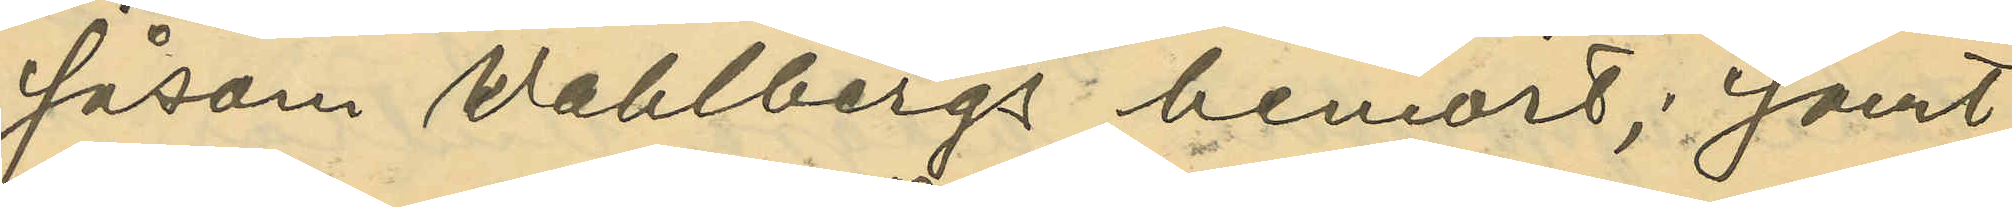såsom Wahlbergs hemort; samt
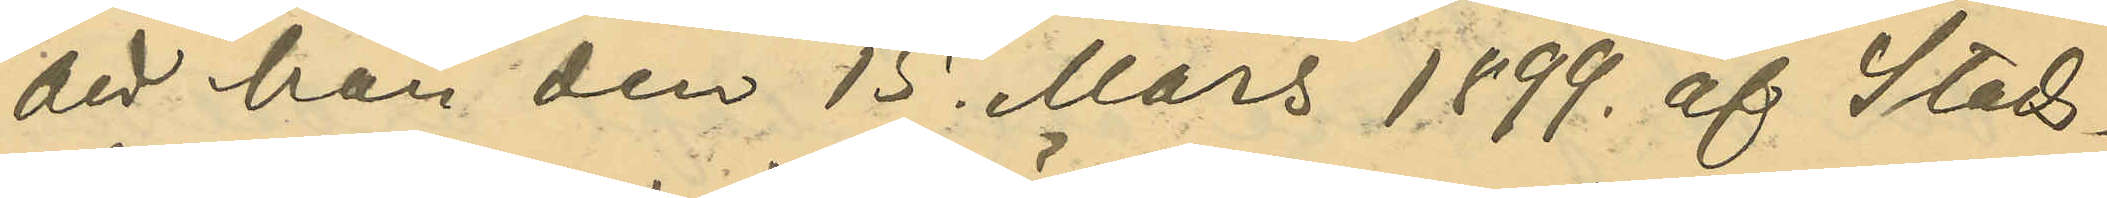att han den 15. Mars 1899. af Stads¬
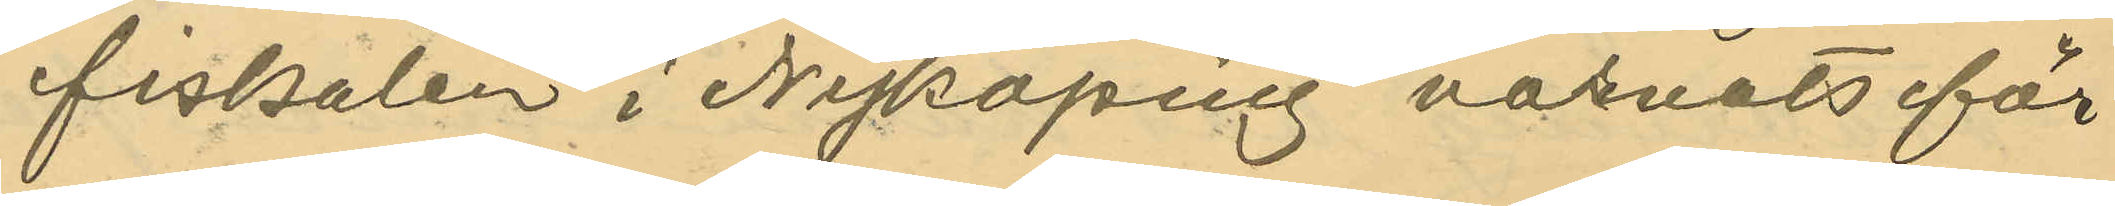fiskalen i Nyköping varnats för
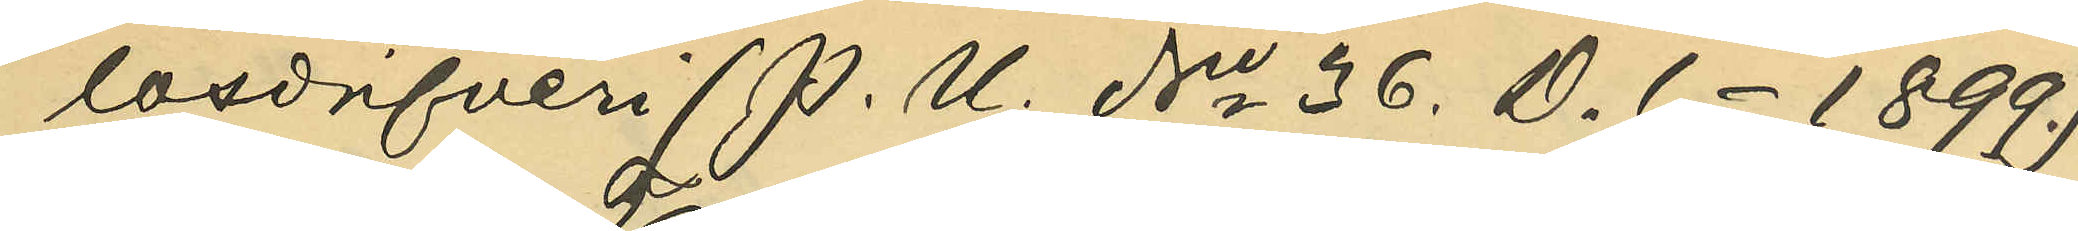lösdrifveri (P. U. No 36. D. 1. - 1899.)
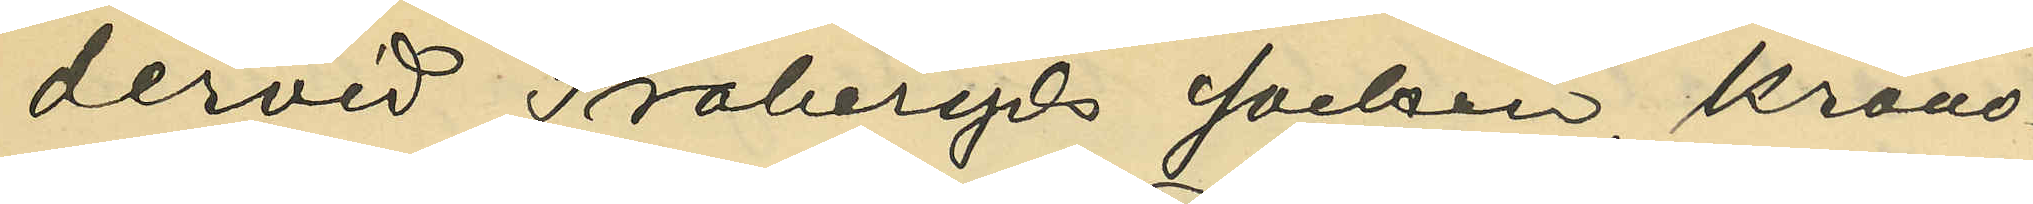dervid Traheryds socken, Krono¬
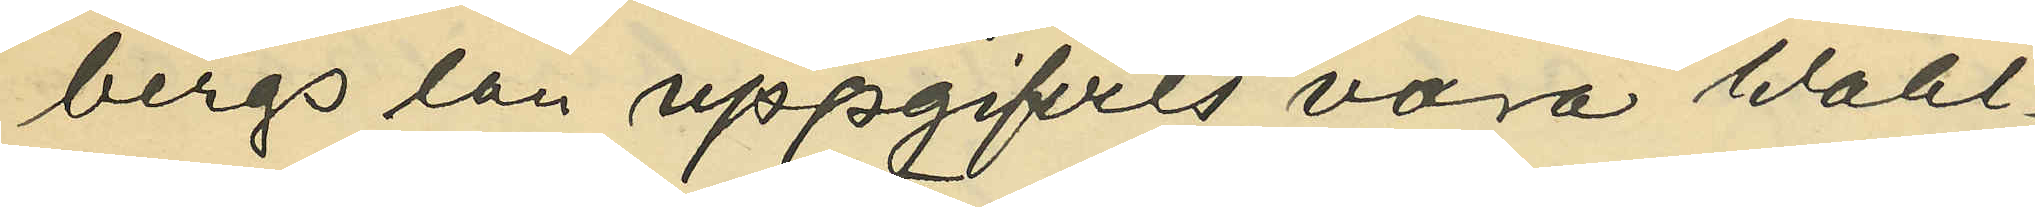bergs län uppgifvits vara Wahl¬
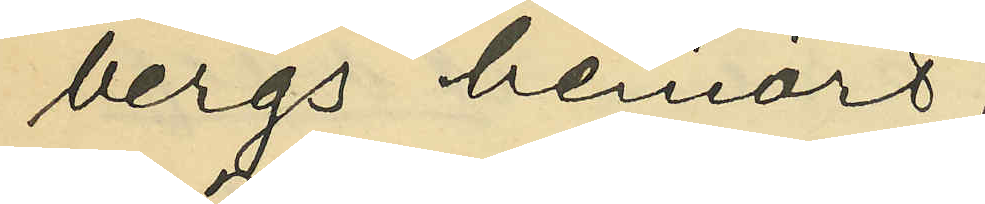bergs hemort.
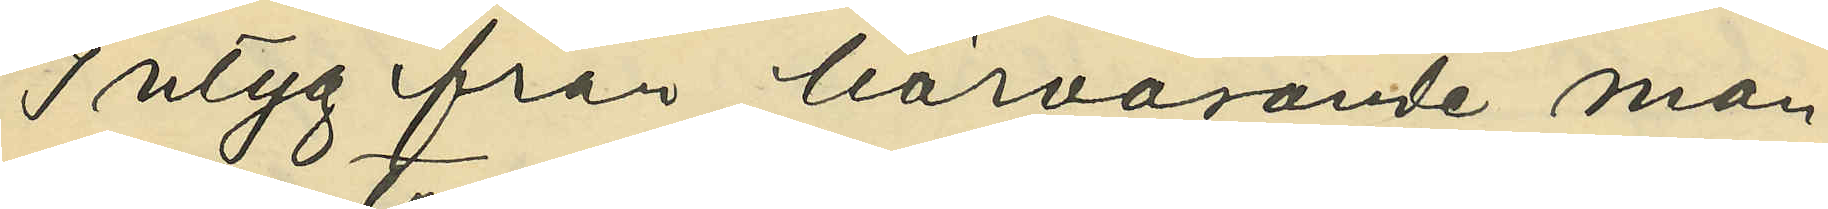Intyg från härvarande man¬
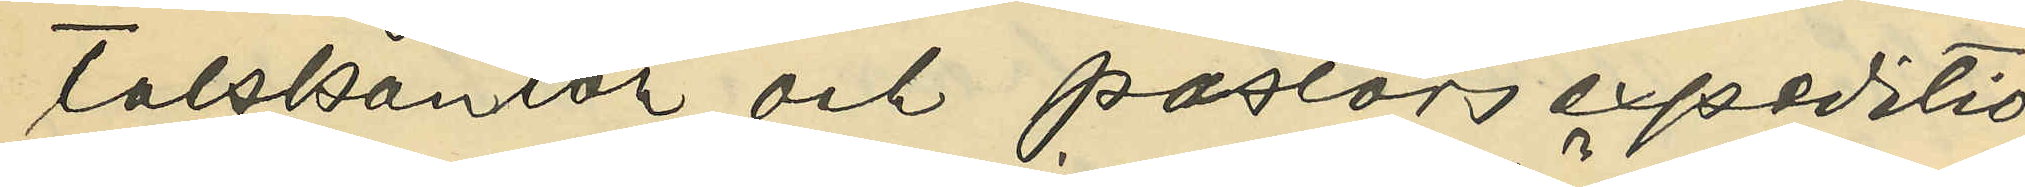talskontor och pastorsexpeditio¬
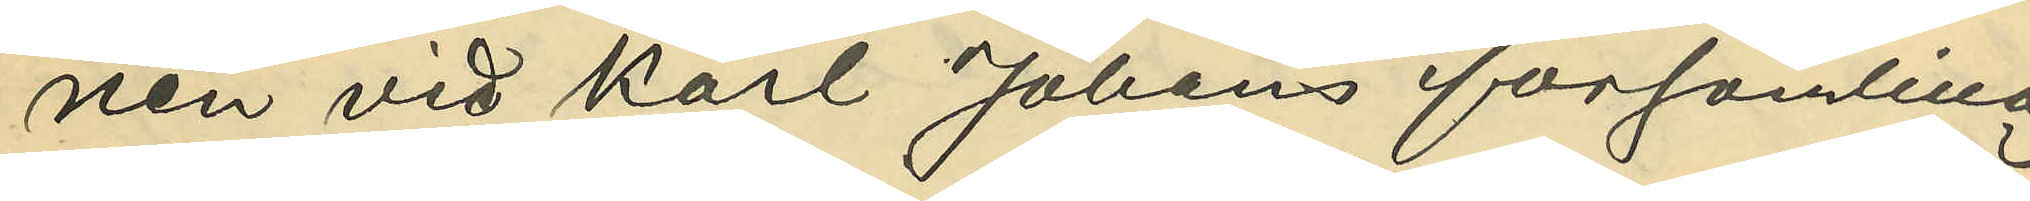nen vid Karl Johans församling
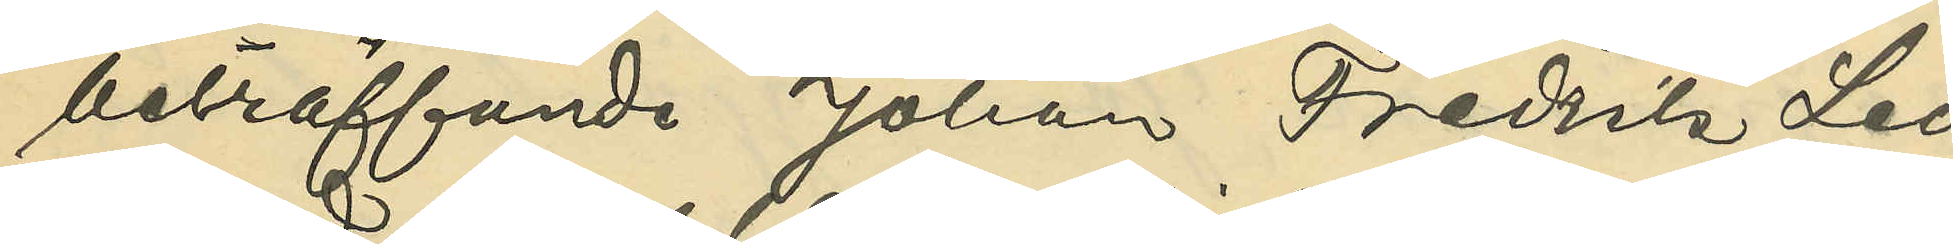beträffande Johan Fredrik Leo¬
